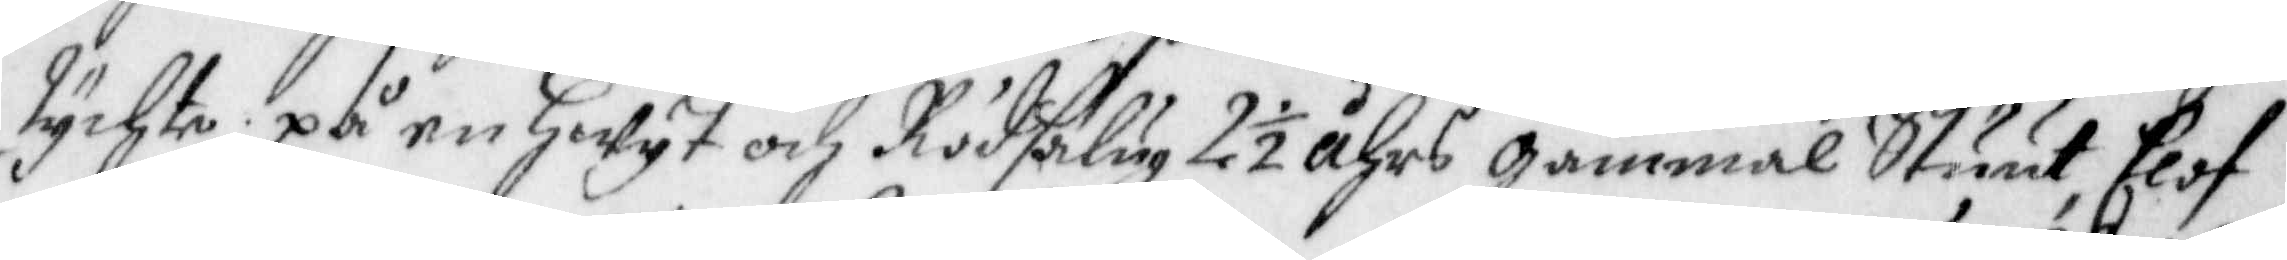tychte, på en hwyt och Rödsälug 2½ åhrs gammal Stuut, Elof
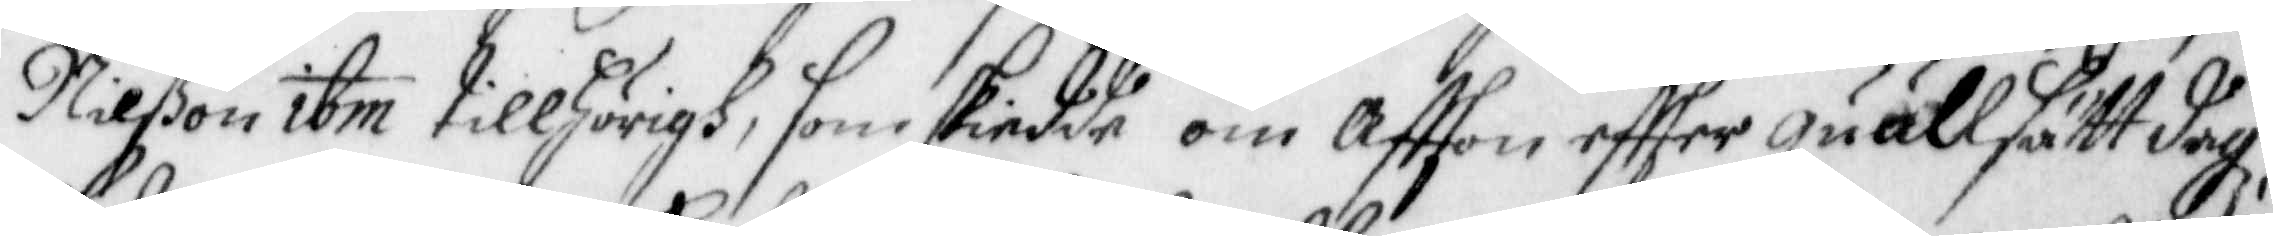Nilßon ibm tillhörigh, som skiedde om affton effter quällsätt dagz,
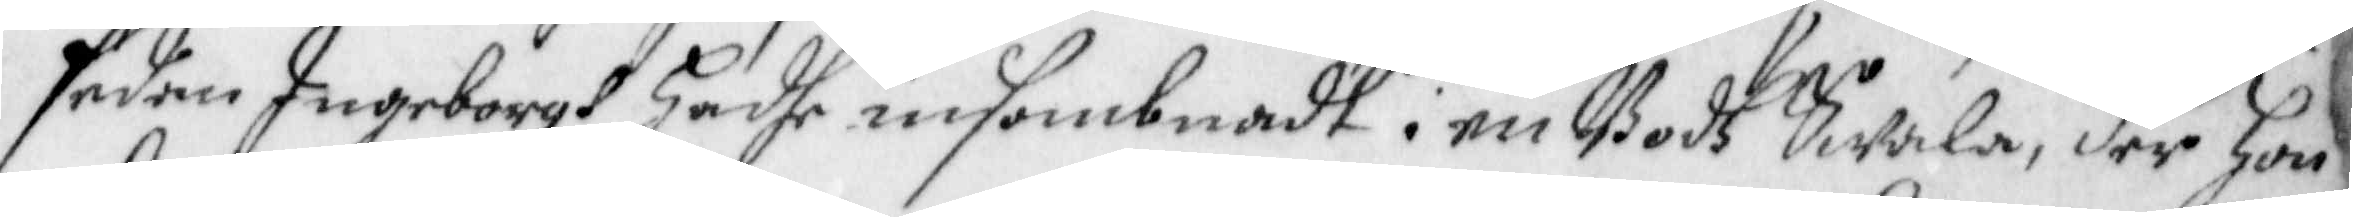sedan Ingeborgh hadhe insombnadt i en Bodh Swala, der hon
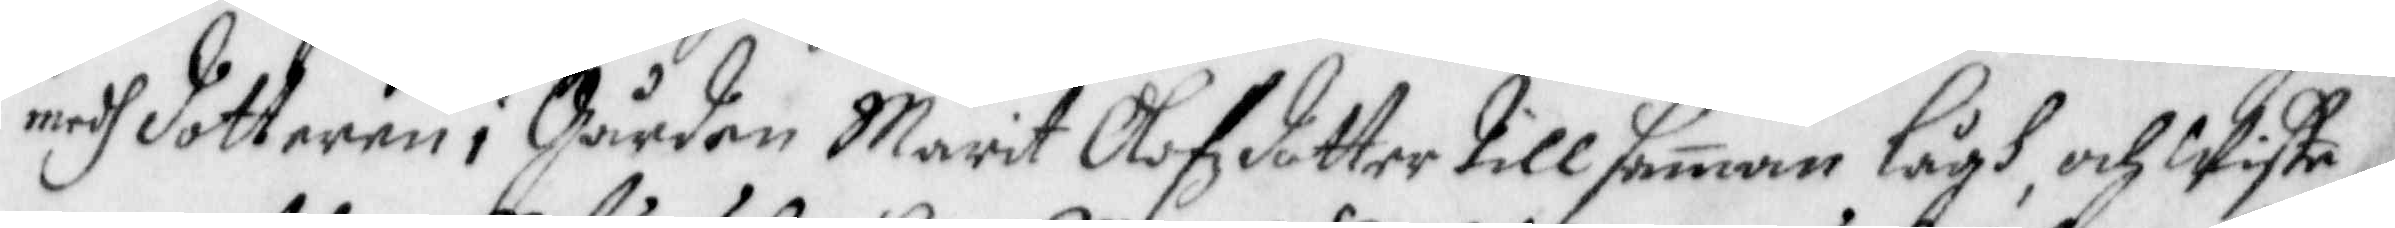medh dotteren i Gården Marit Olofzdotter till saman Lågh, och Wiste
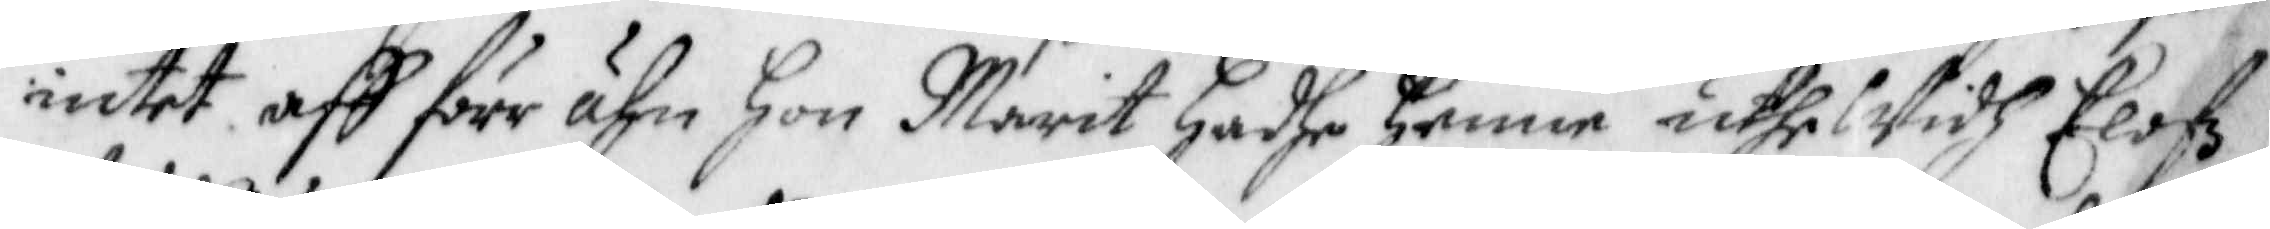intet aff förr ähn Hon Marit hadhe henne uthe Widh Elofz
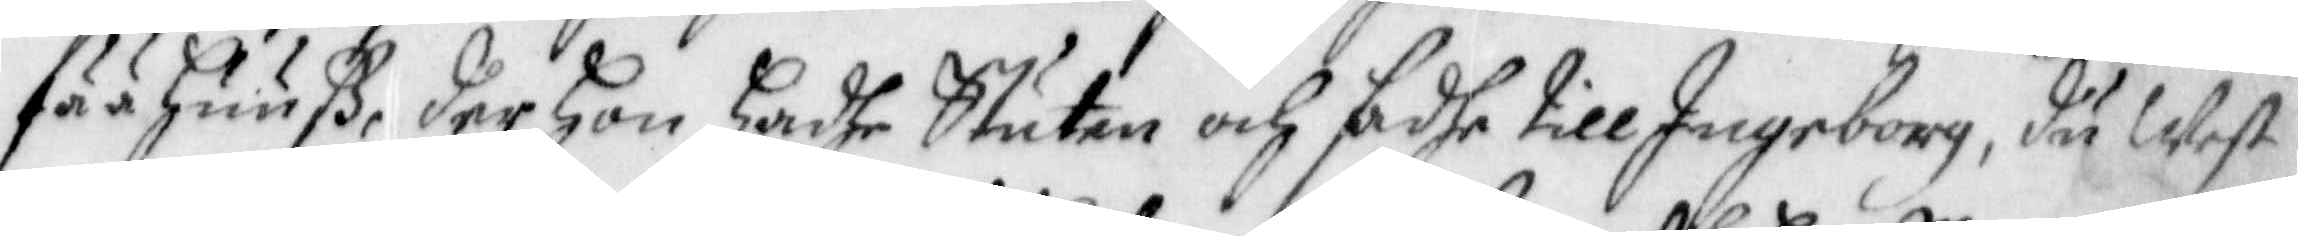fää huuß, der hon hadhe Stuten och sadhe till Ingeborg, du West
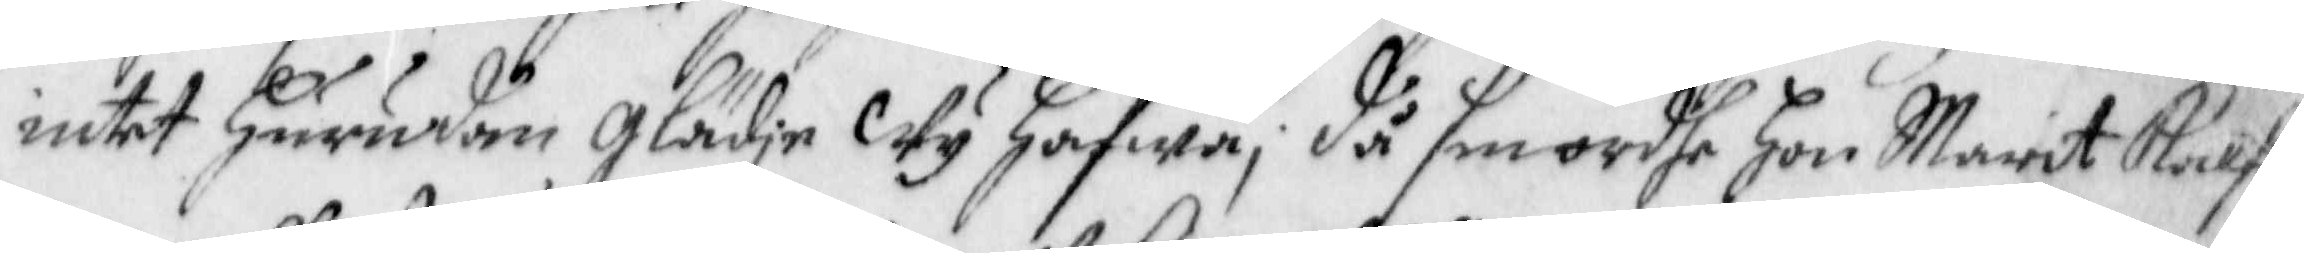intet hurudan glädje Wy hafwa; då smordhe hon Marit kalf¬
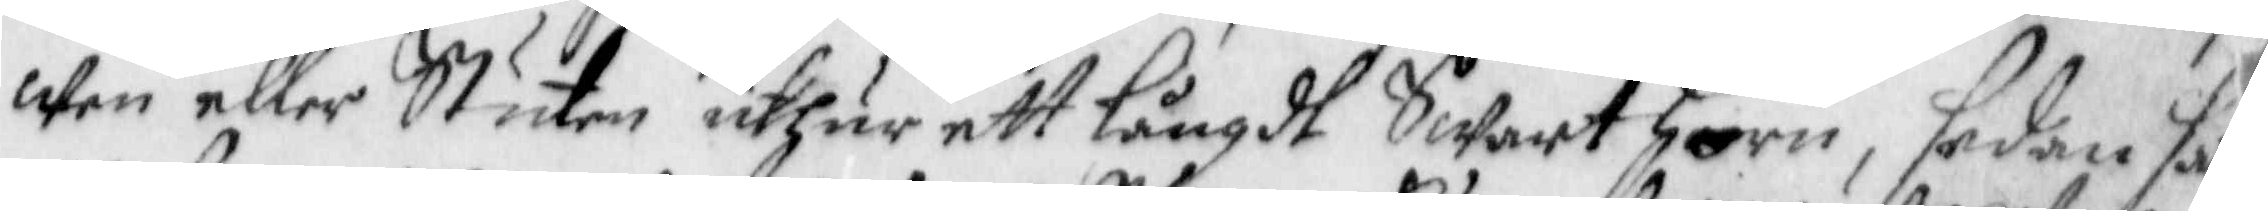wen eller Stuten uthur ett långdt Swart Horn, sedan sat
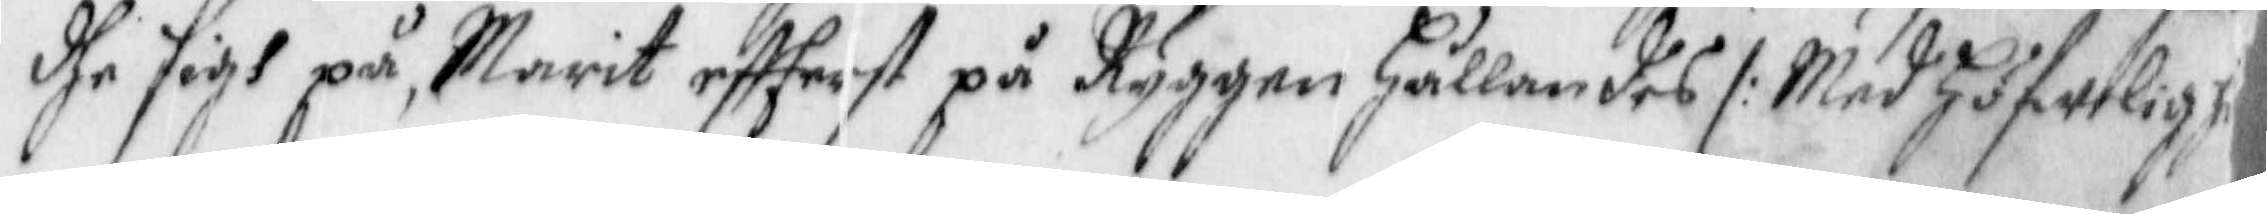dhe sigh på, Marit effterst på Ryggen hållandes /: Med höfwelig j
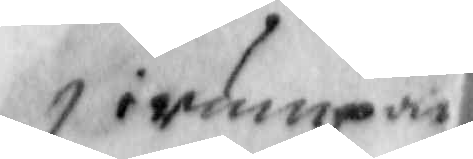irumpan,
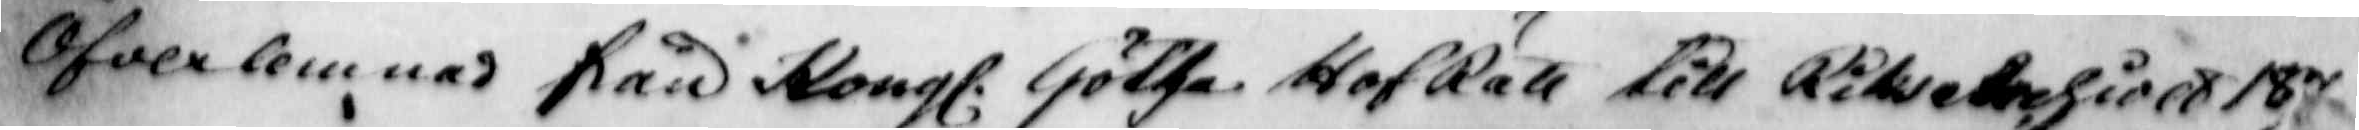Ofwerlemnas frår Kongl. Götha HofRätt till Riksetrehiold 187
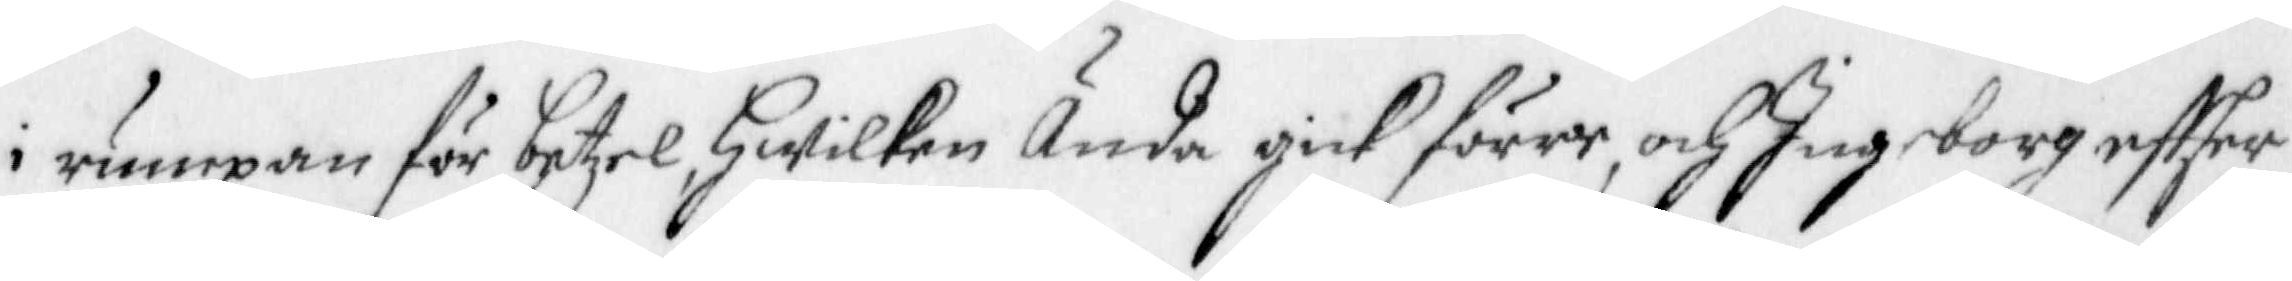i rumpan för betzel, hwilken Ända gick förre, och Ingeborg effter
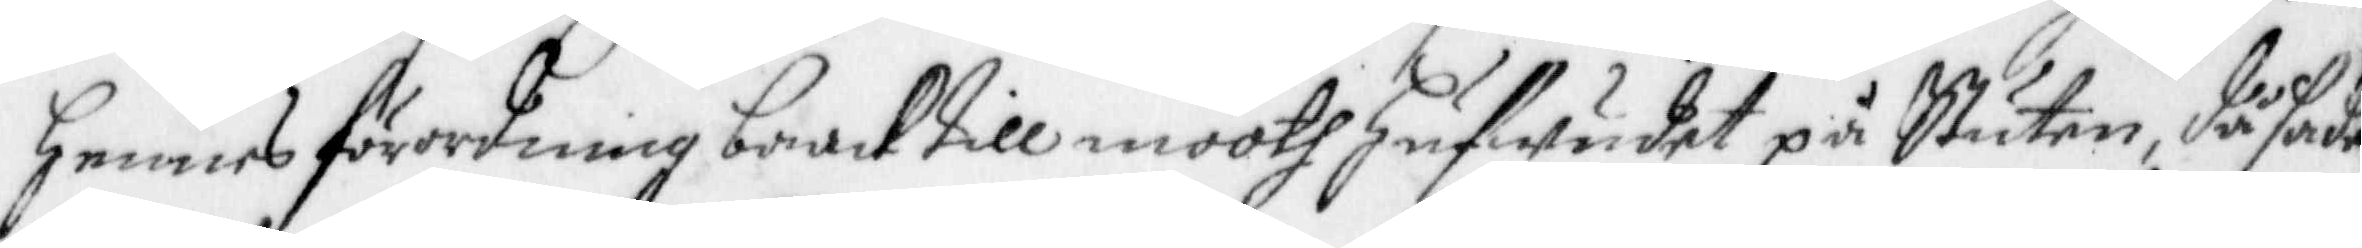hennes förordning baack till mooth hufwudet på Stuten, då sade
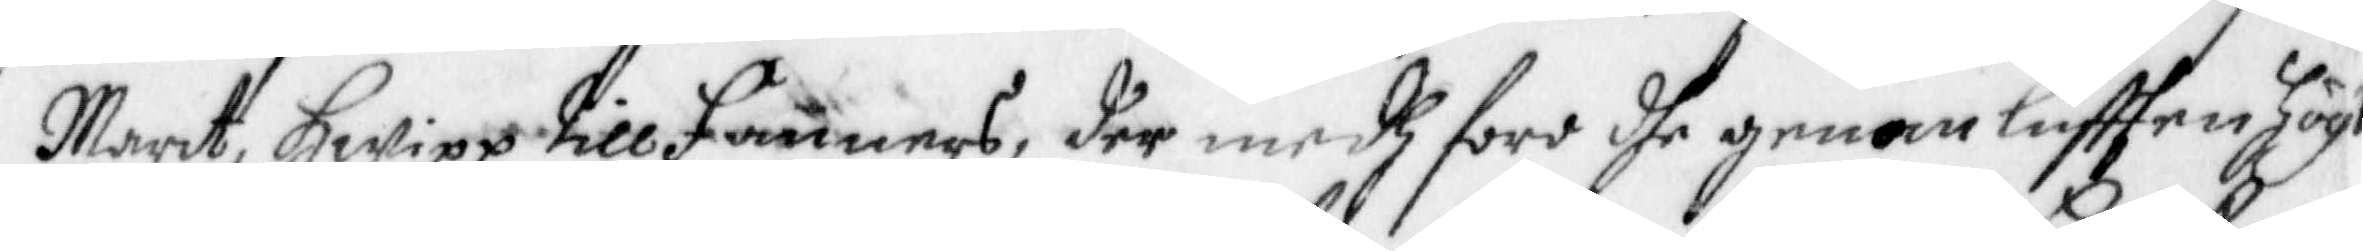Marit, hwipp till Fanners, der medh foro dhe genom lufften högt
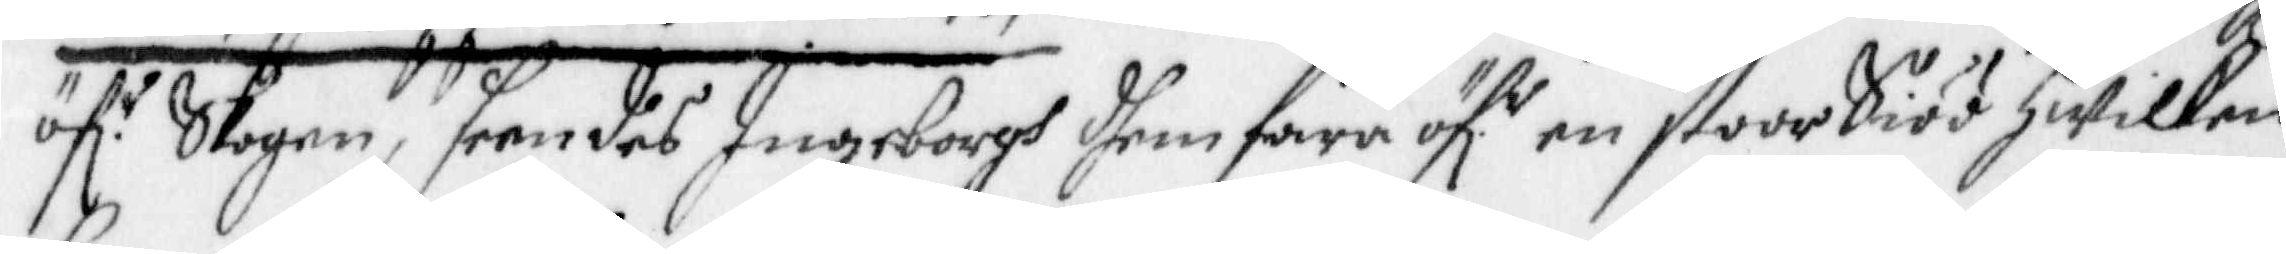öffr Skagen, seendes Ingeborgh dhem fara öfr en stoor Siöö hwilken
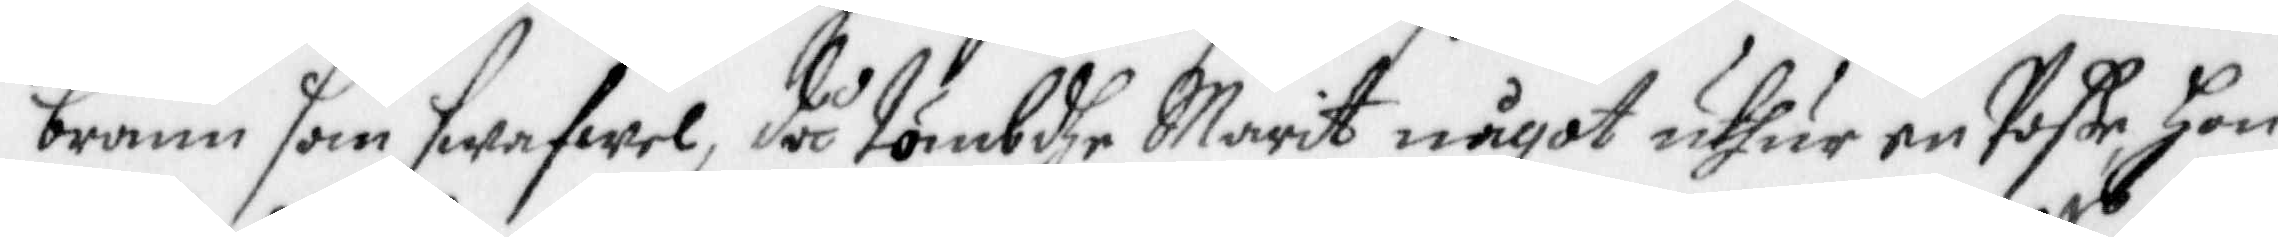brann som swafwel, då tömbdhe Marit något uthur en poße Hon
